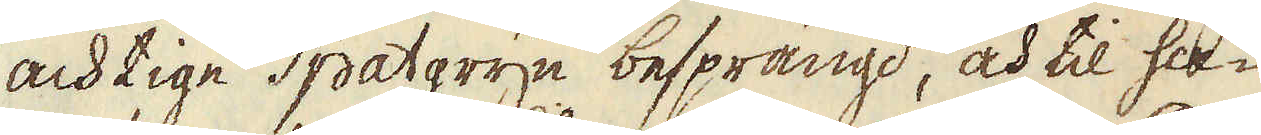achtige Spatgryn besprängd, och til ha-
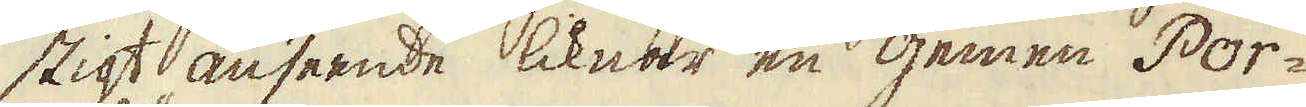stigt anseende liknar en gemen Por-
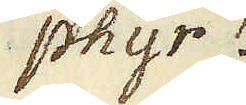phyr.
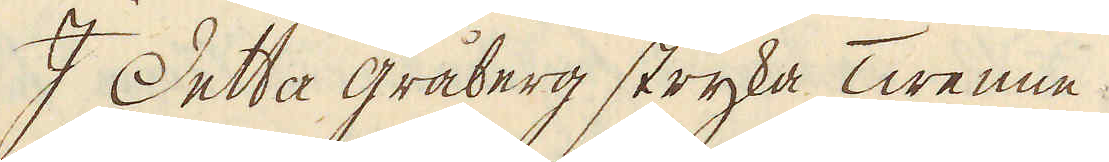I Detta gråberg stryka Twenne
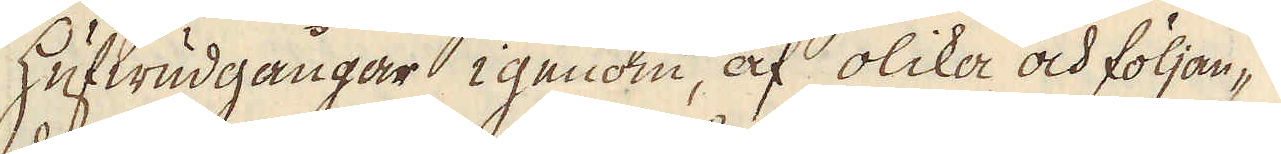hufwudgångar igenom, af olika och följan-
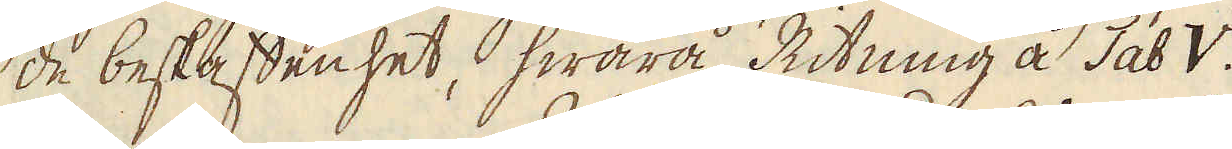de beskaffenhet, hwarå Ritning å Tab. V
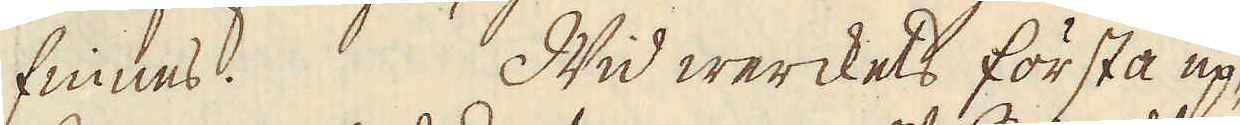finnes. Wid werckets första up-
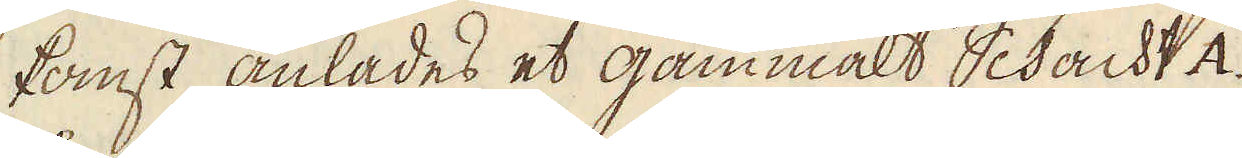komst, anlades et gammalt Schacht A
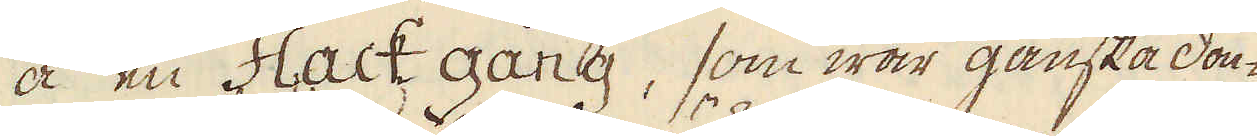å en Flack gång, som war ganska don-
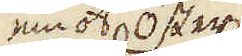emot öster
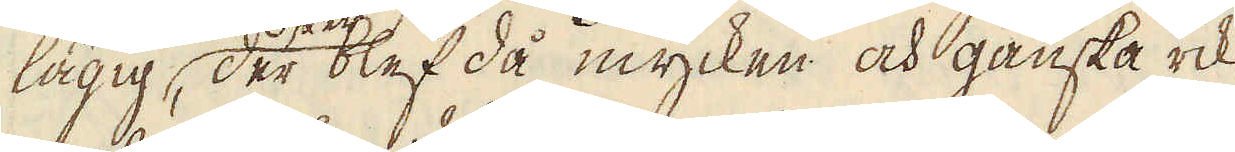lägig, der blef då mycken och ganska rik
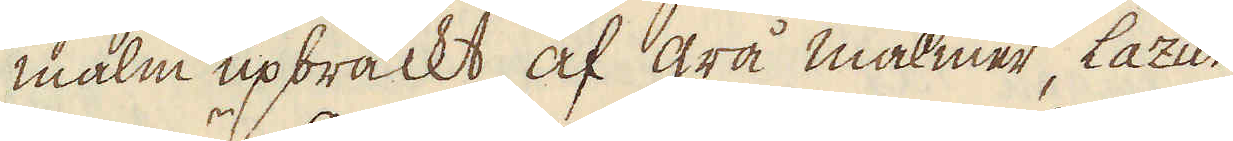malm upbrackt af grå malmer, Lazur
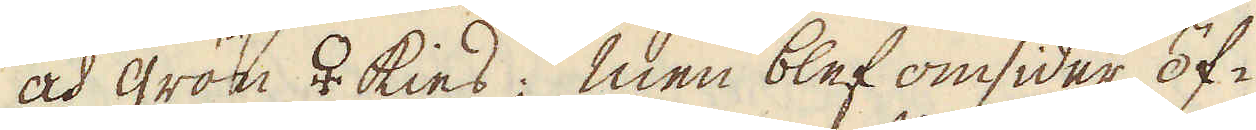och grön ♀ kies; men blef omsider öf-
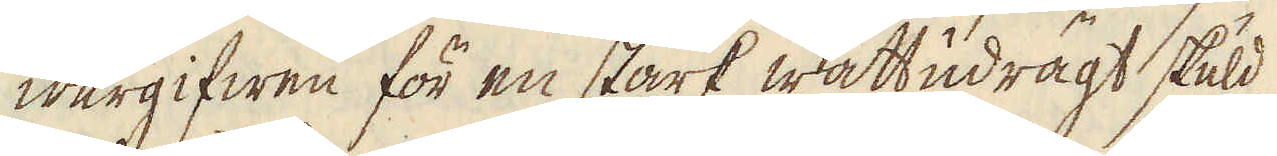wergifwen för en stark wattudrägt skuld
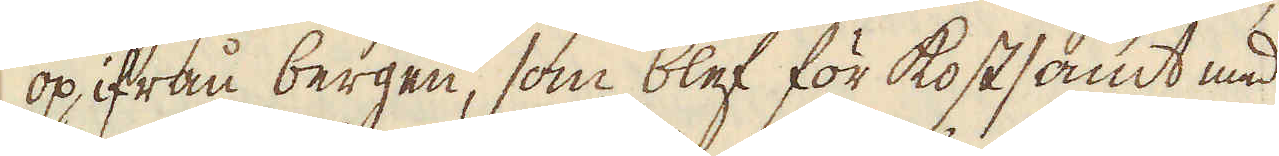op ifrån bergen, som blef för kostsamt med
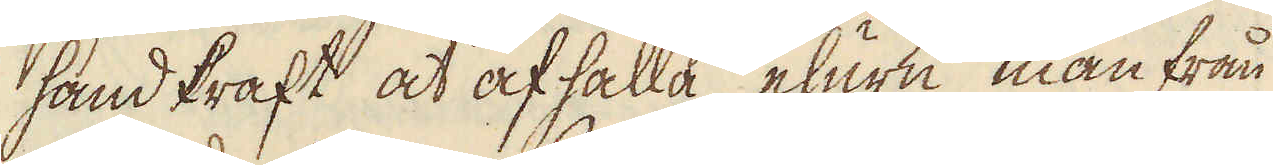handkraft at afhålla, ehuru man från
